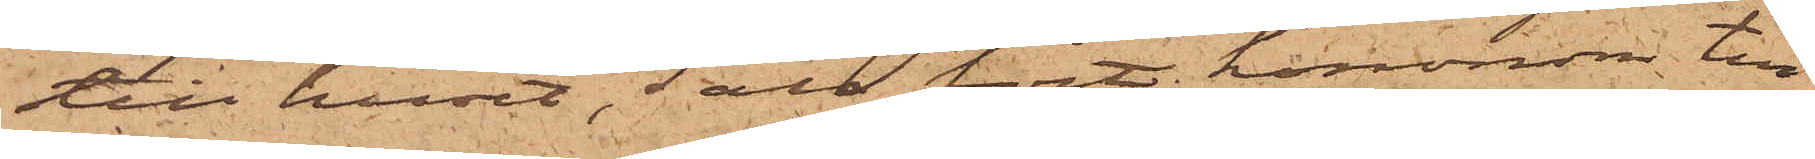till huset, Säll fört hononom till
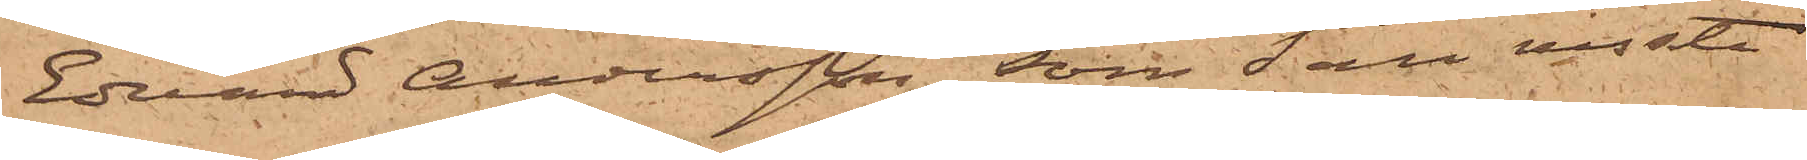Edvard Andersson, som Säll visste
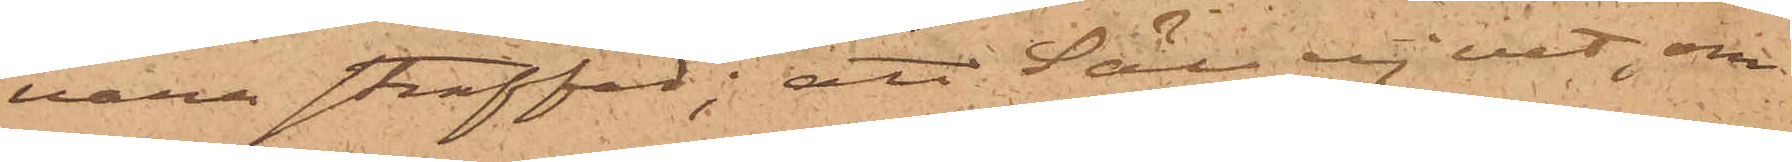vara straffad; att Säll ej vet, om
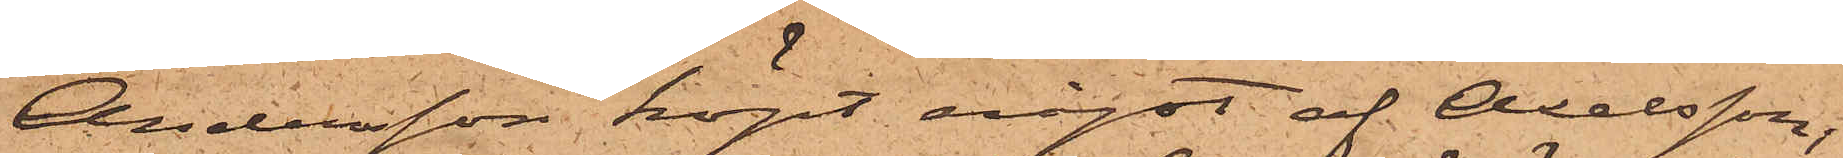Andersson köpt något af Axelsson;
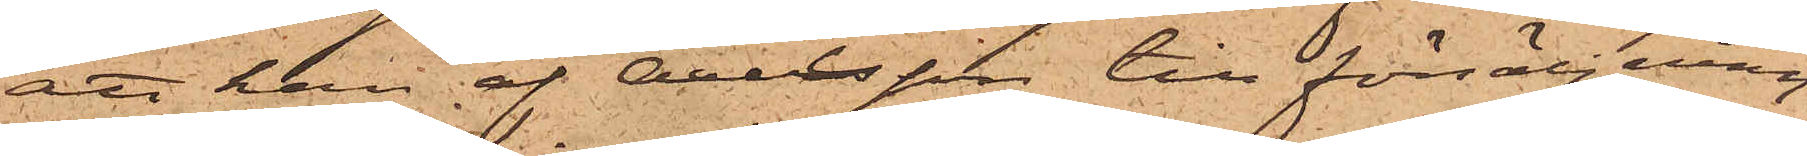att han af Olsson till försäljning
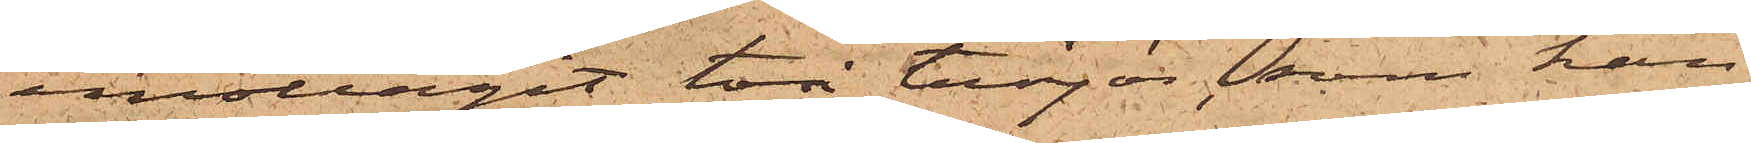emottagit två tröjor, som han
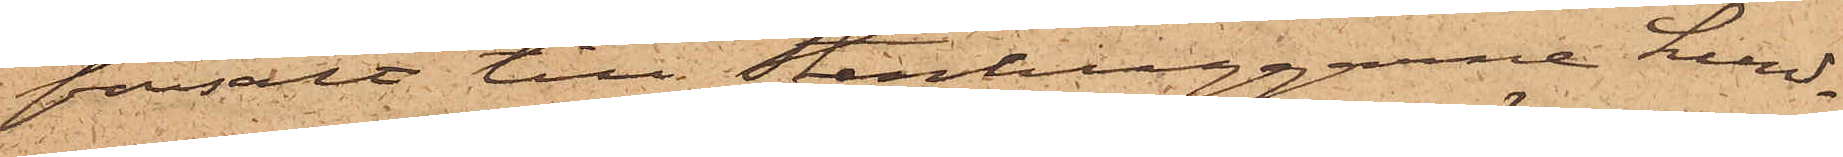försålt till Stenhuggarne Lund¬
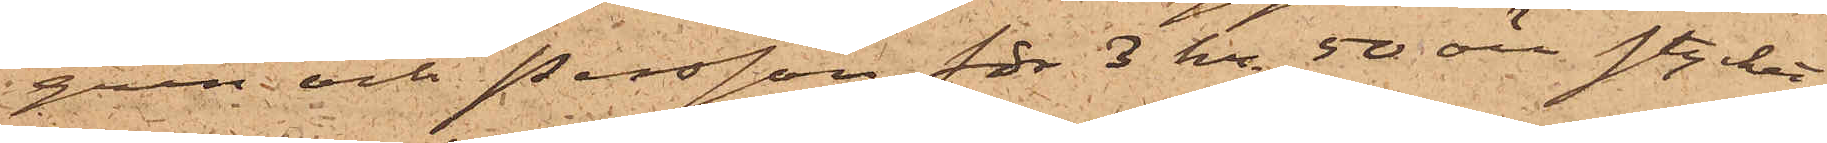gren och Persson för 3 kr 50 öre stycket
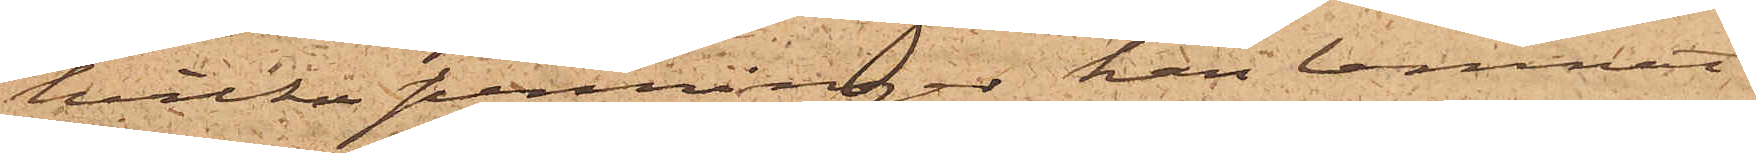hvilka penningar han lemnat
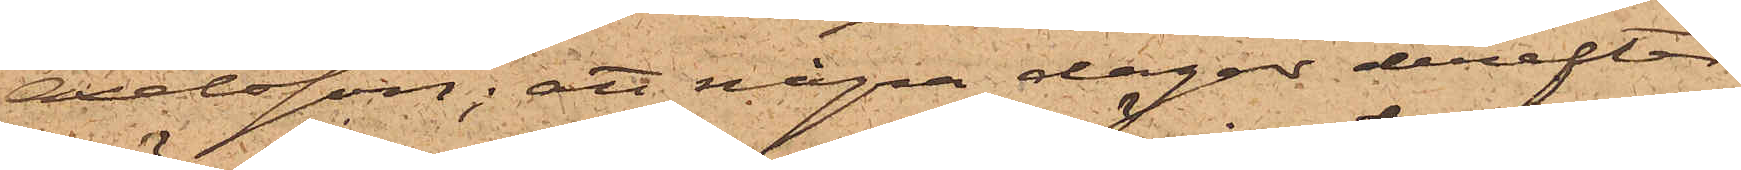Axelsson; att några dagar derefter
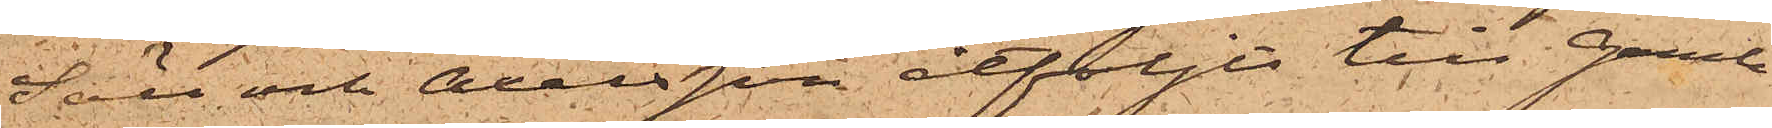Säll och Axelsson åtföljts till Gamle¬
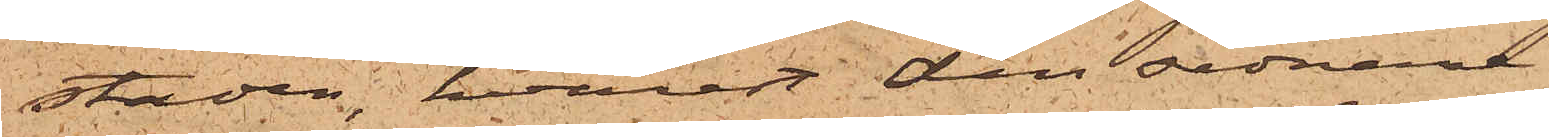staden, hvarest den sednare
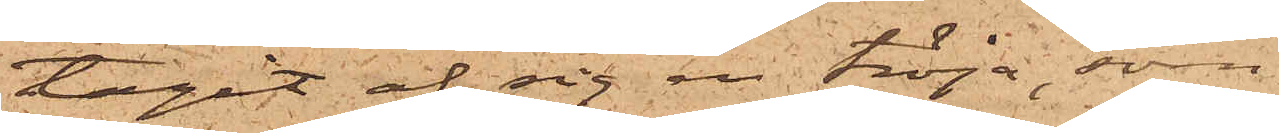tagit af sig en tröja, som
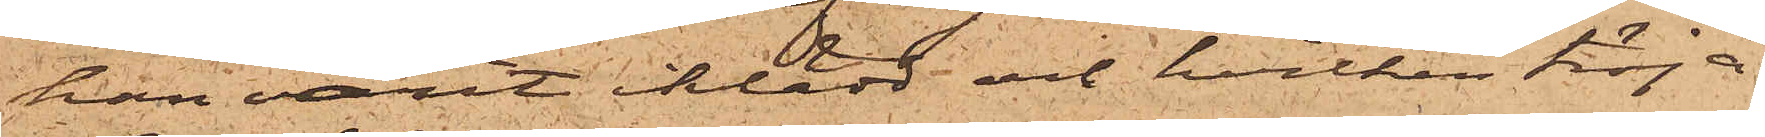han varit iklädd och hvilken tröja
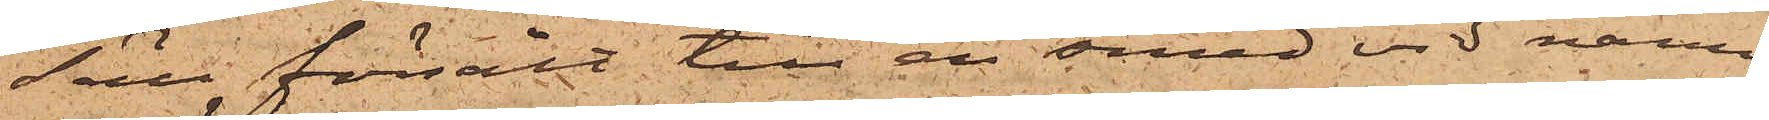Säll försålt till en smed vid namn
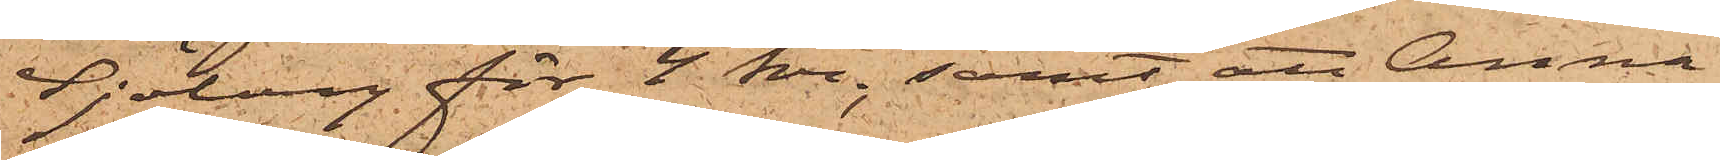Sjöberg för 4 kr; samt att Anna
